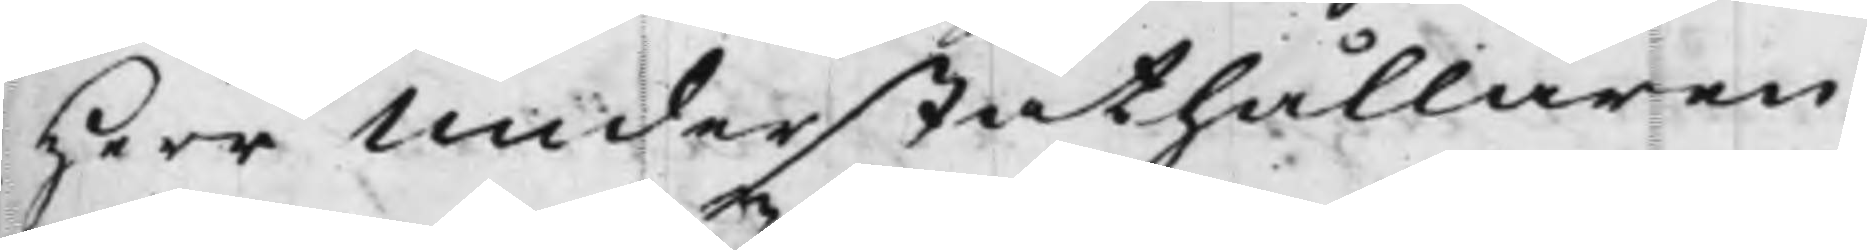Herr Underståthållaren
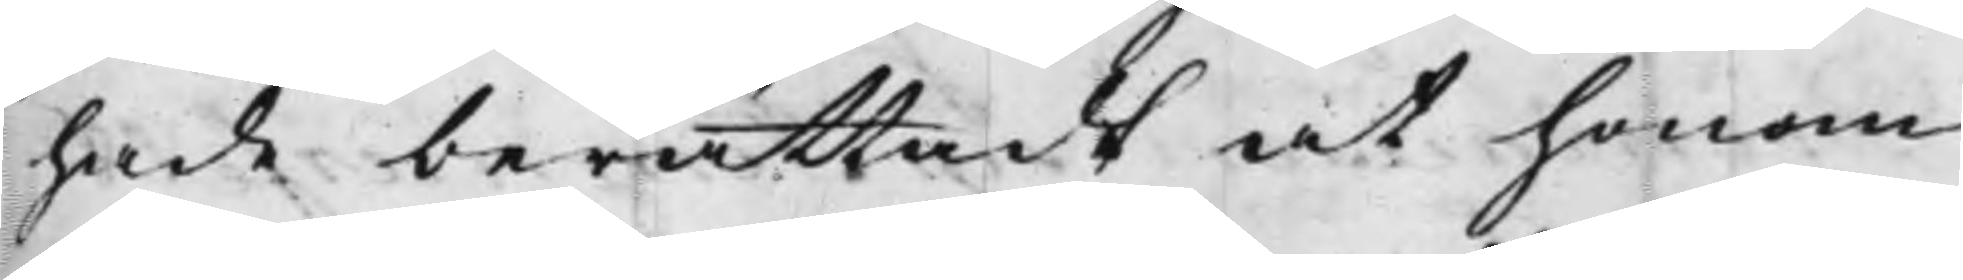hade berättadt at honom
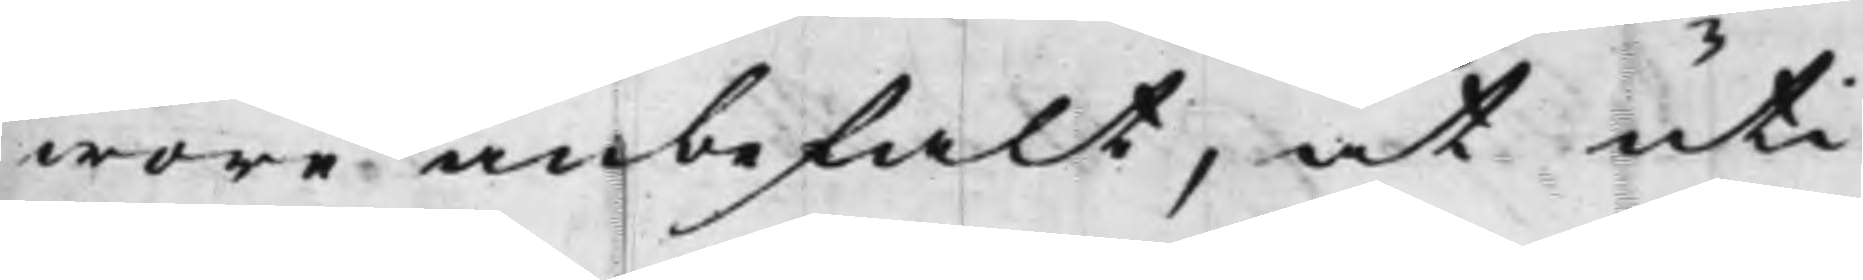wore anbefalt, at uti
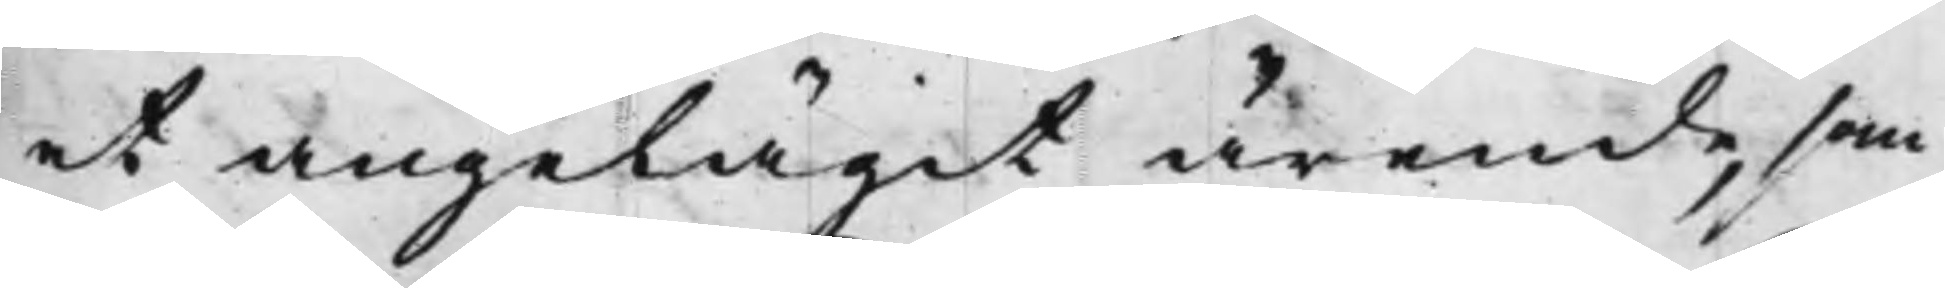et angelägit ärende, som
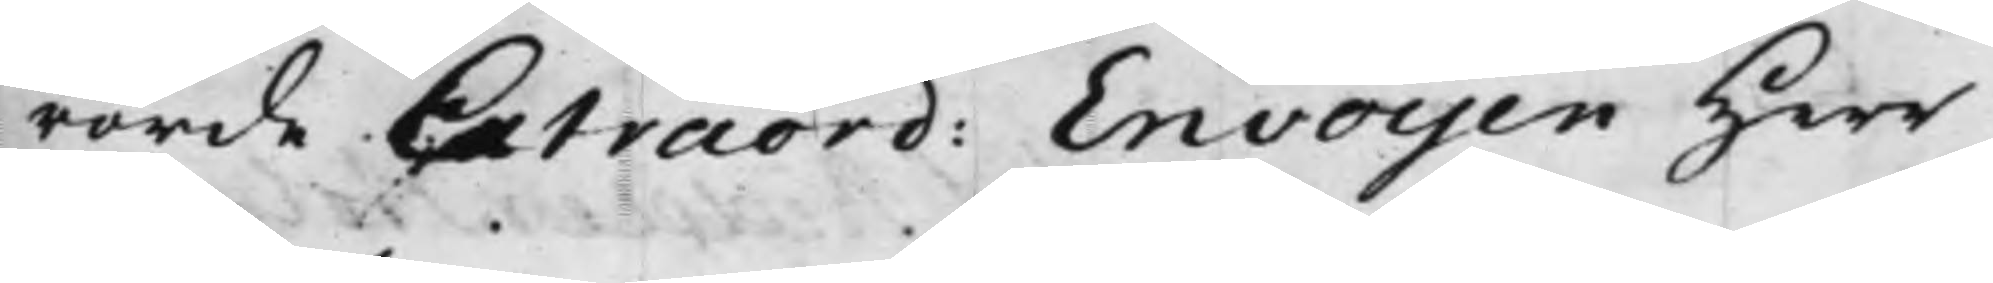rörde Extraord: Envoyen Herr
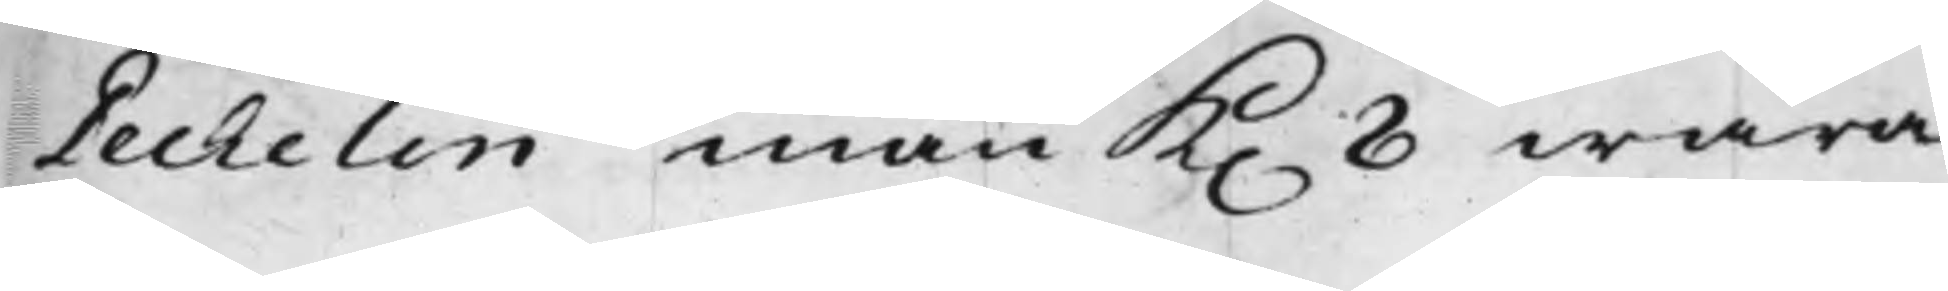Dechelin inan K. 8 wara
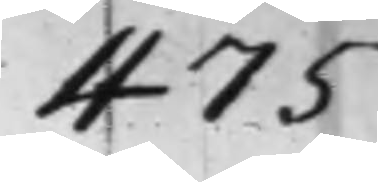475
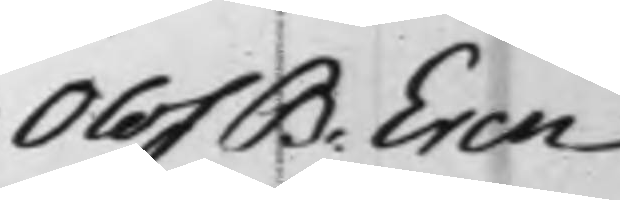Olof B. Eren¬
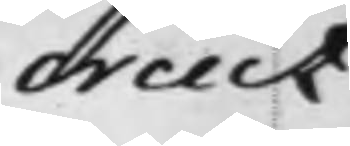creutz
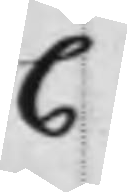C
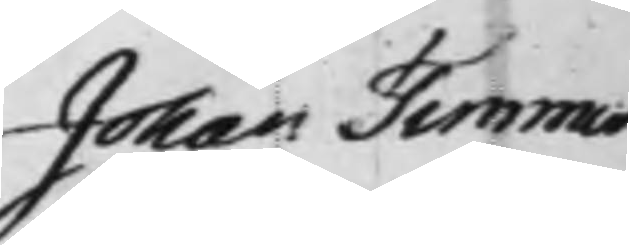Johan Timmer¬
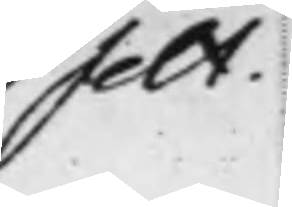felt.
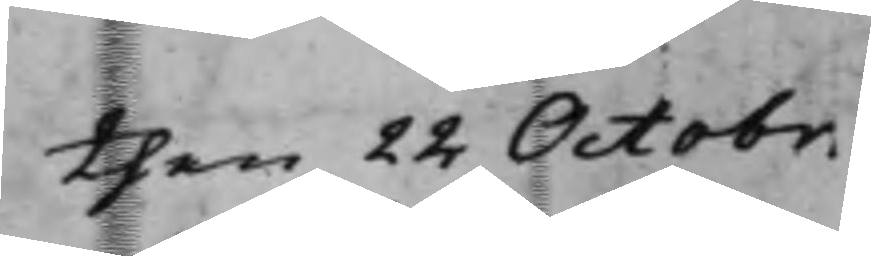then 22 Octobr.
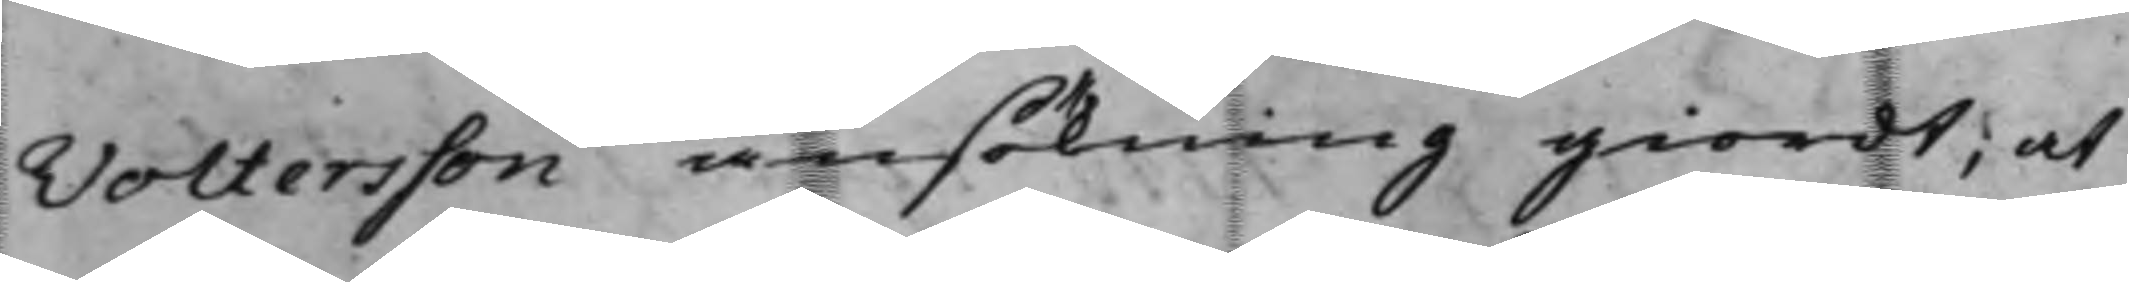Voltersson ansökning giordt; at
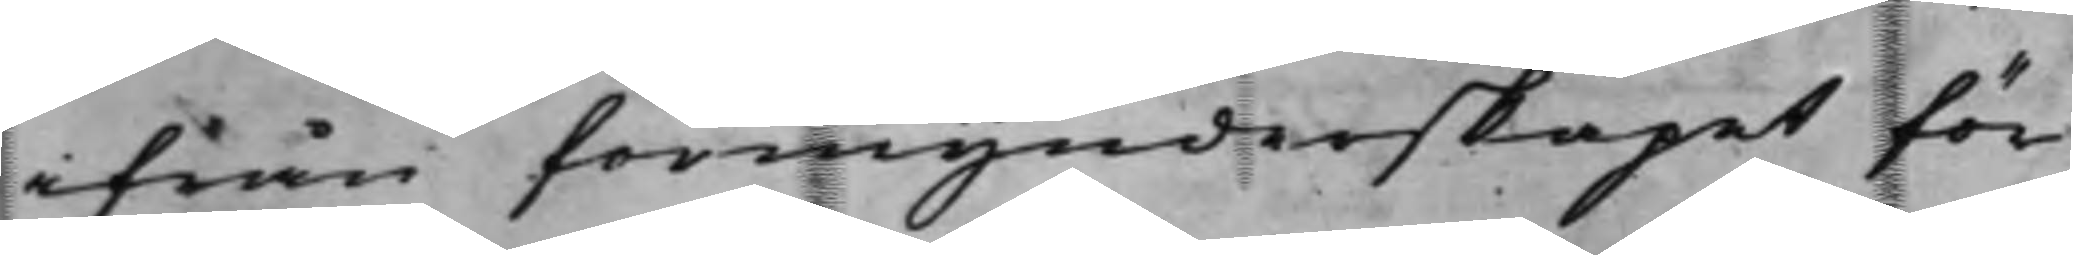ifrån förmynderskapet för
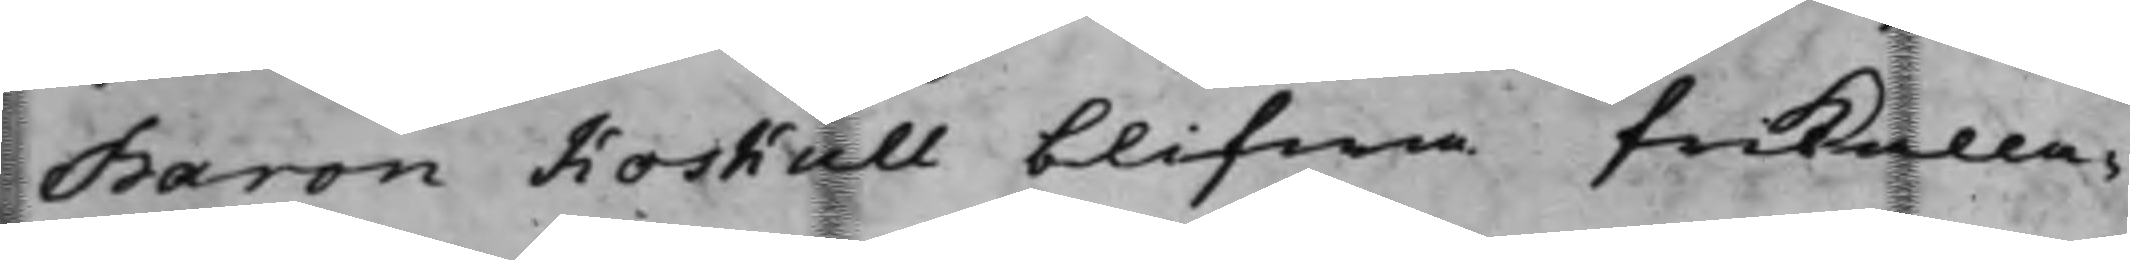Baron Koskull blifwa frikalla¬
